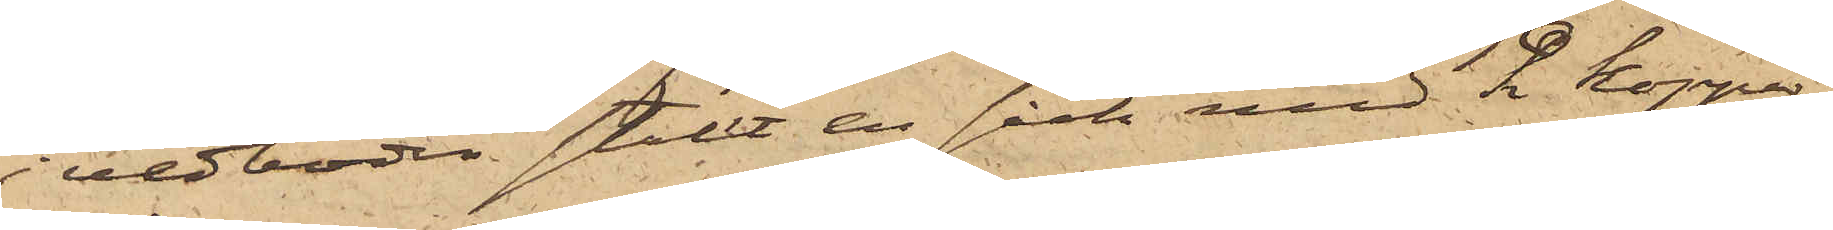i vedboden ställt en säck med 2 koppar¬
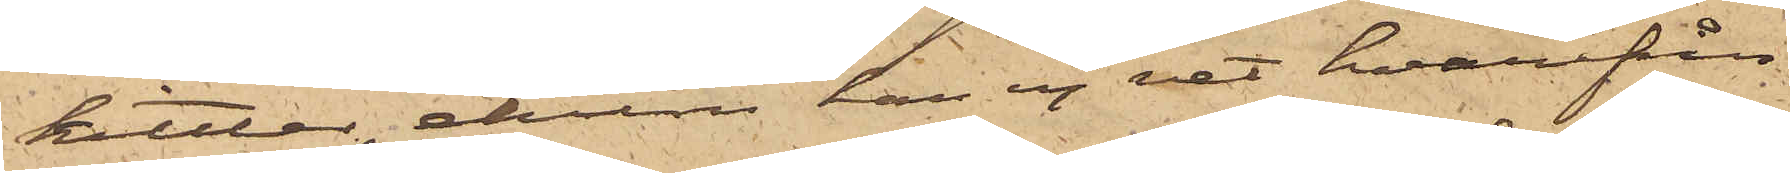kittlar, ehuru han ej vet hvarifrån
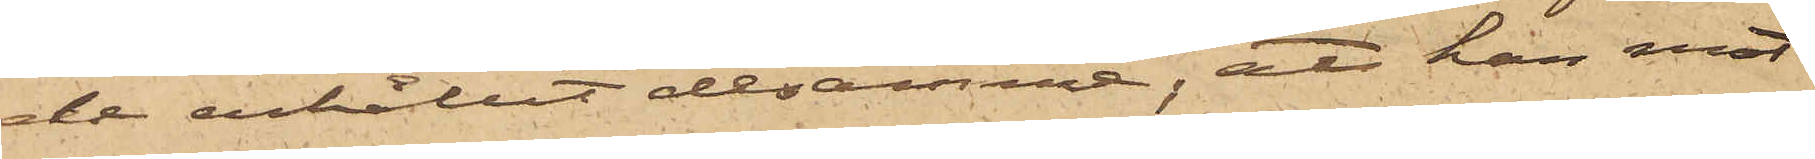de erhållit desamme; att han mot
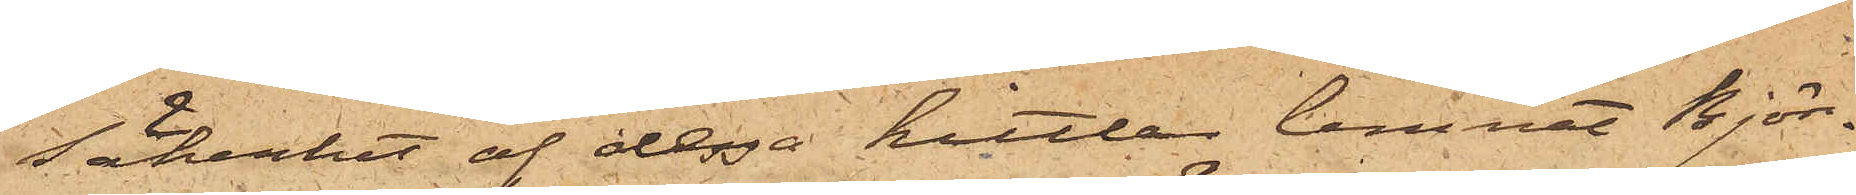säkerhet af dessa kittlar lemnat Björ¬
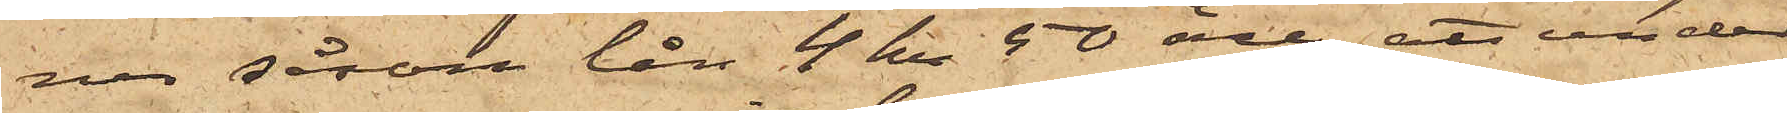ner såsom lån 4 kr 50 öre; att under
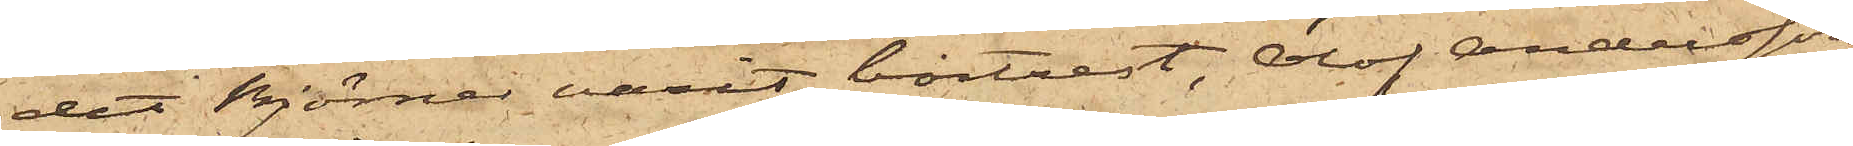det Björner varit bortrest, Olof Andersson
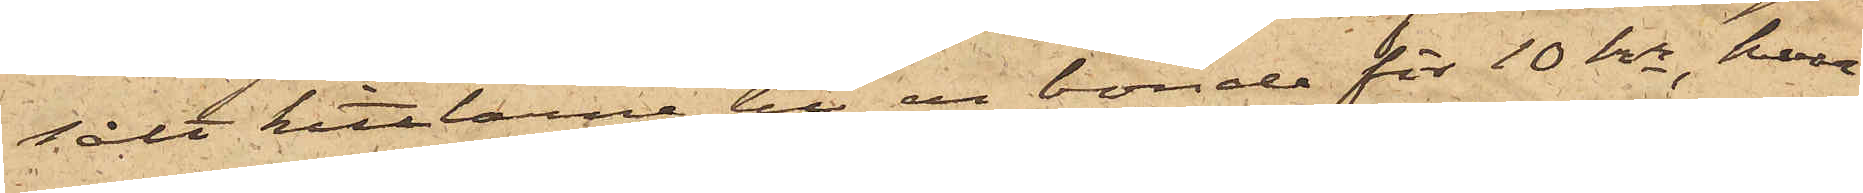sålt kittlarne till en bonde för 10 kr, hvar¬
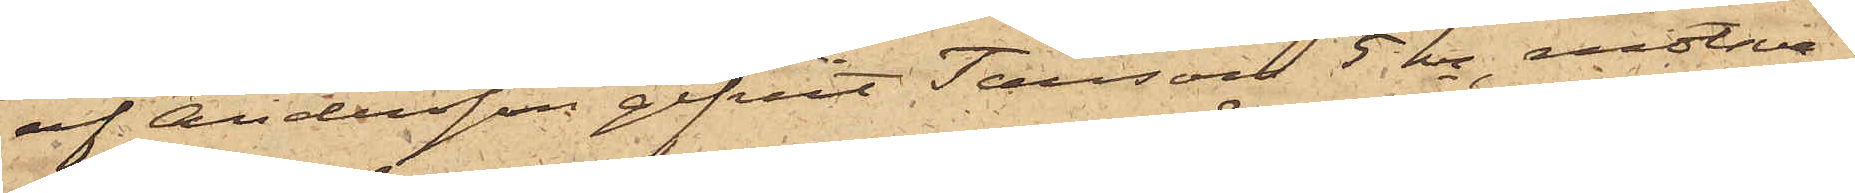af Andersson gifvit Tausson 5 kr, motsva¬
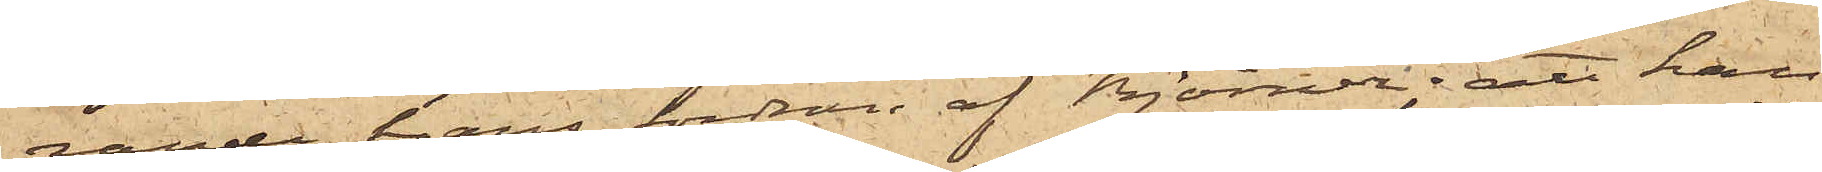rande hans fordran af Björner; att han
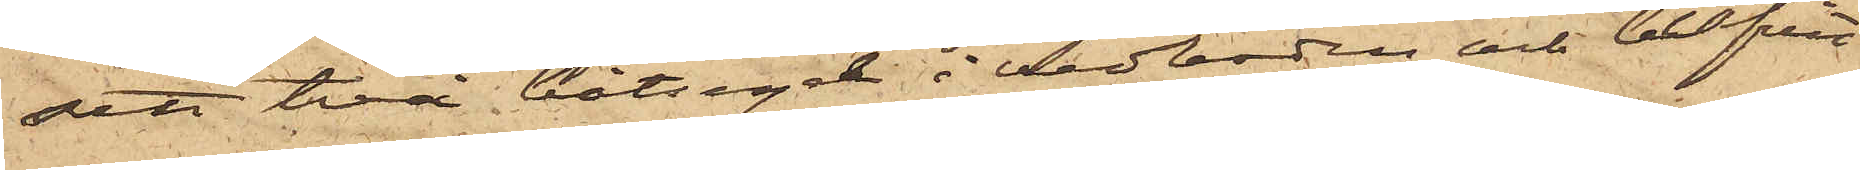sett två båtsegel i vedboden och blifvit
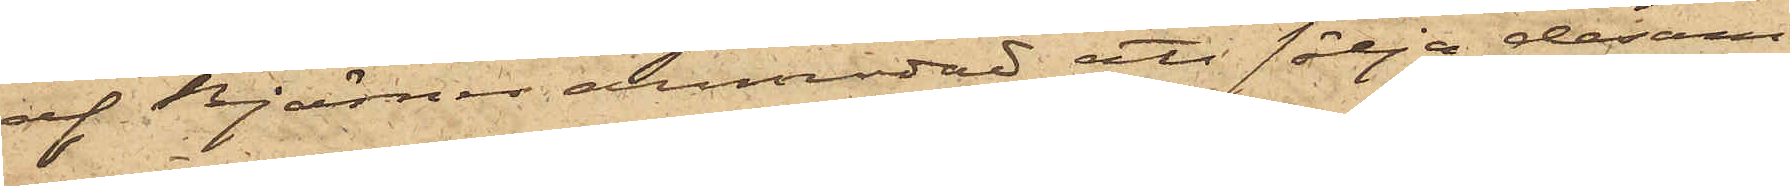af Björner anmodad att sälja desam¬
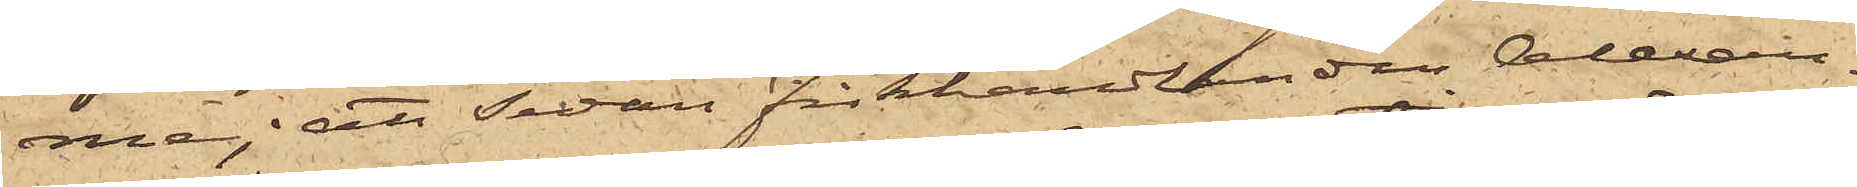ma; att sedan fiskhandlanden Alexan¬
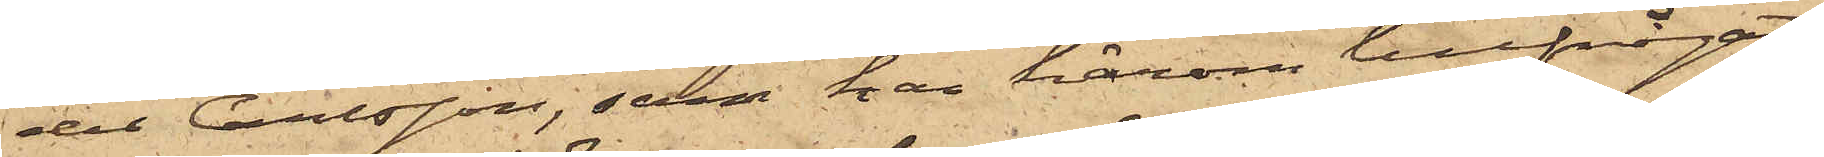der Carlsson, som han härom tillfrågat,
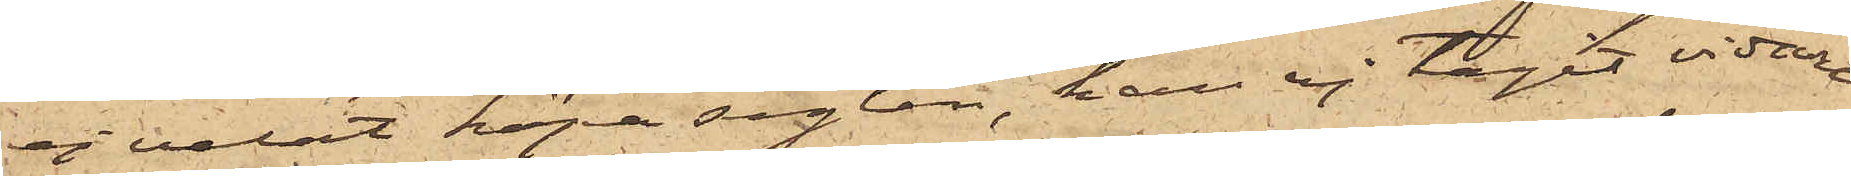ej velat köpa seglen, han ej tagit vidare
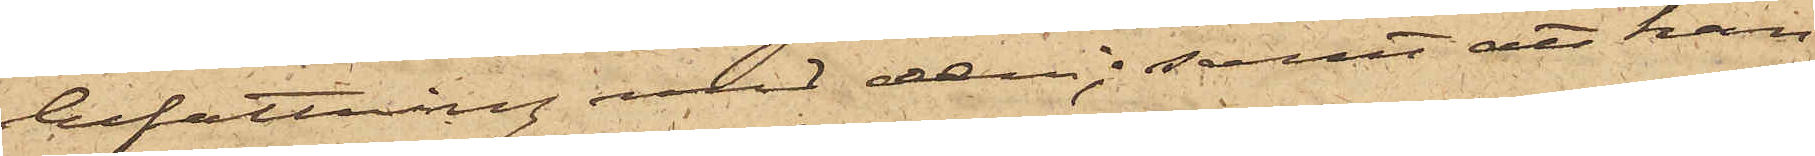befattning med dem; samt att han
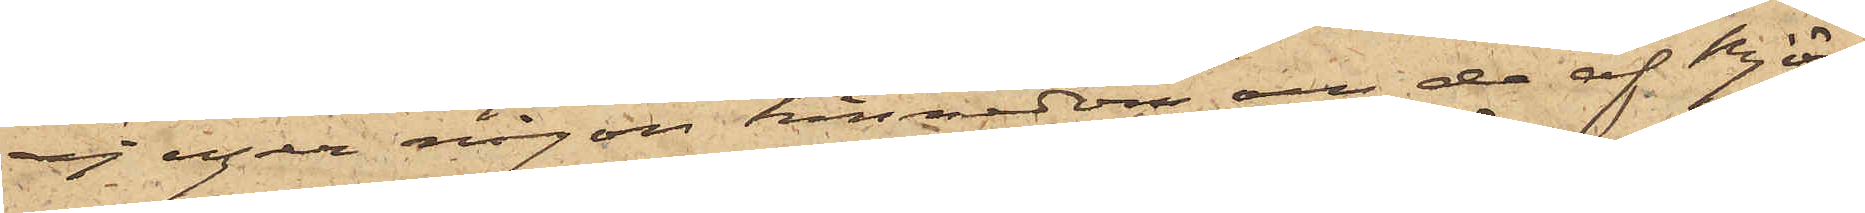ej eger någon kännedom om de af Björ¬
